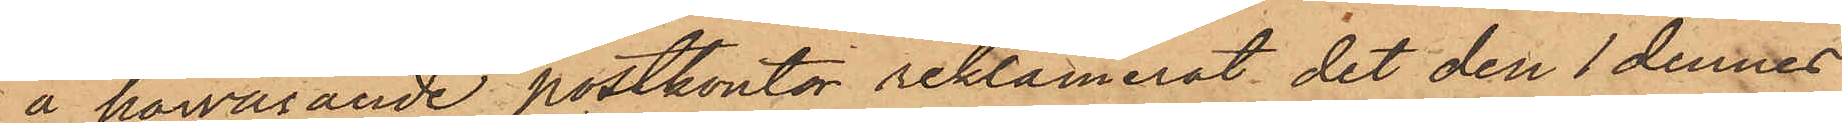å härvarande postkontor reklamerat det den 1 dennes
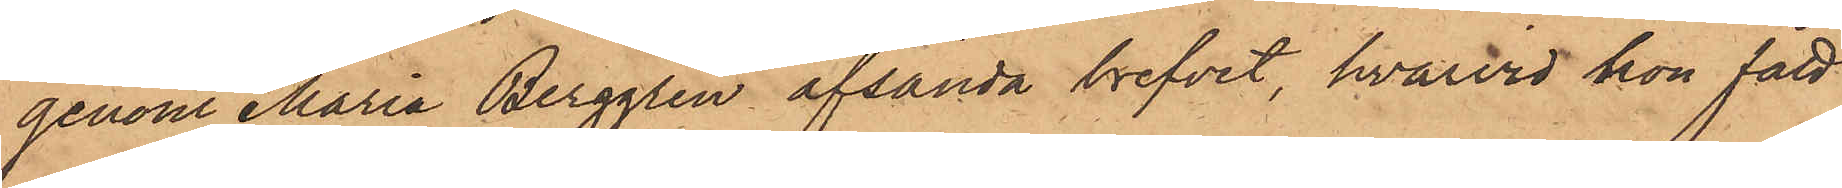genom Maria Berggren afsända brefvet, hvarvid hon fått
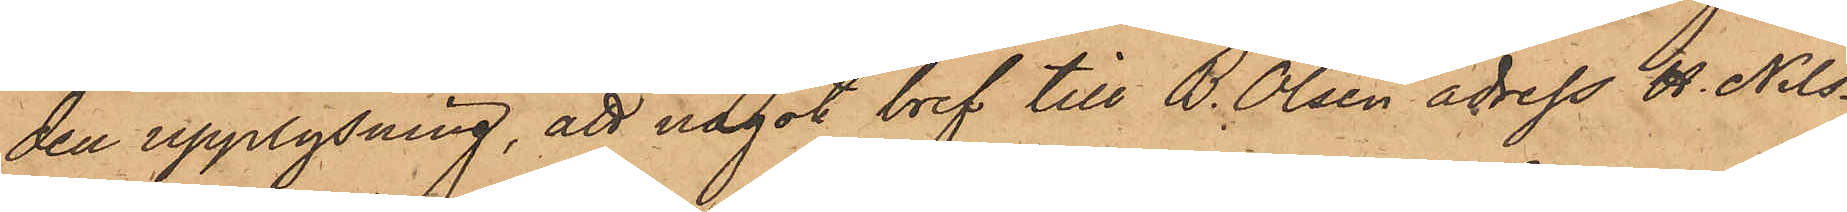den upplysning, att något bref till B. Olsen adress H. Nils¬
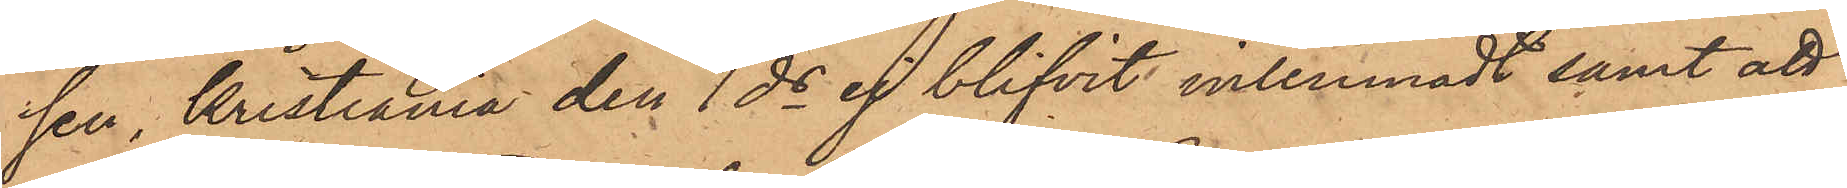sen, Kristiania den 1 ds ej blifvit inlemnadt samt att
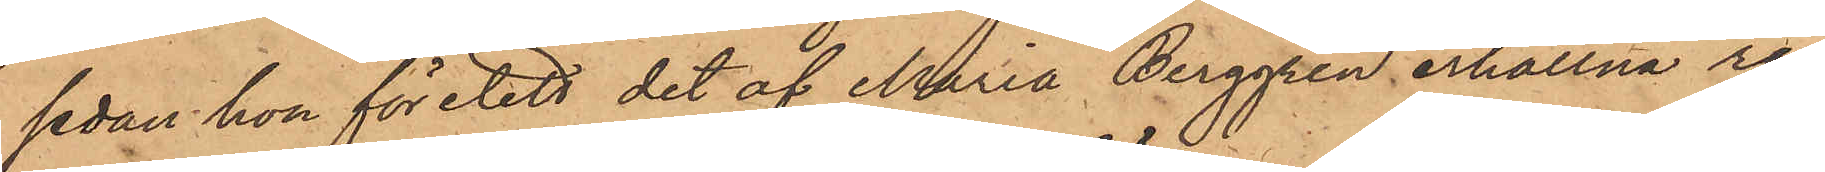sedan hon företett det af Maria Berggren erhållna re¬
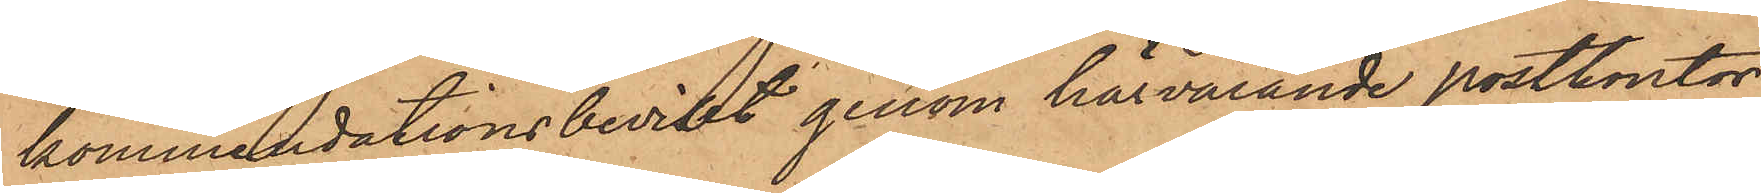kommendationsbeviset genom härvarande postkontor
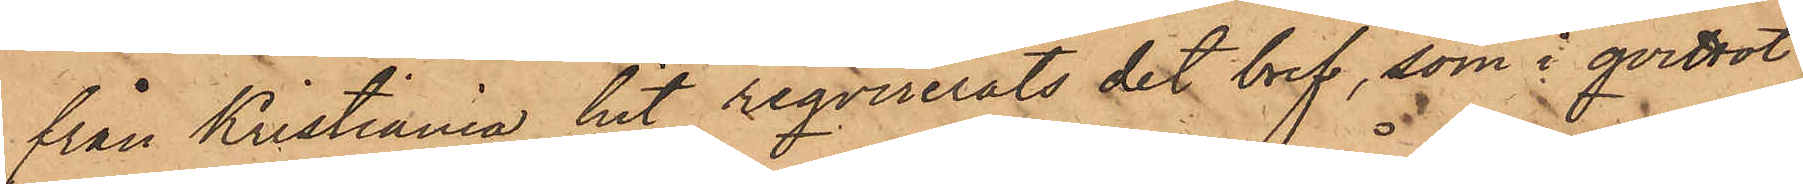från Kristiania hit reqvirerats det bref, som i qvittot
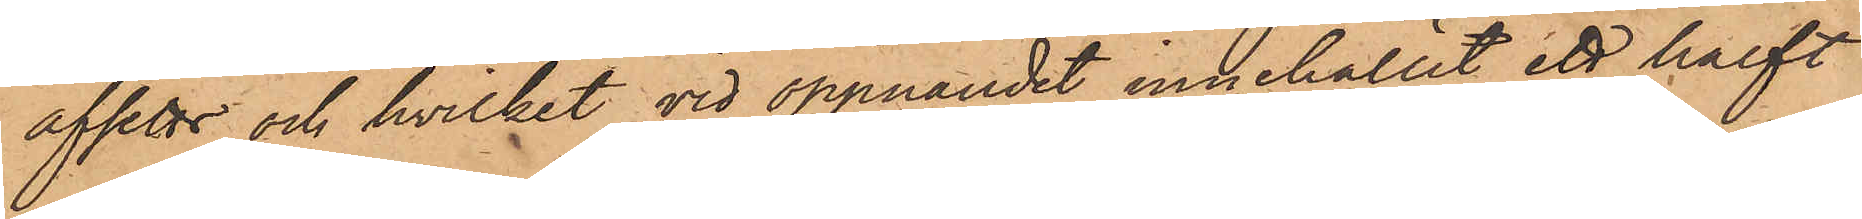afsetts och hvilket vid öppnandet innehållit ett halft
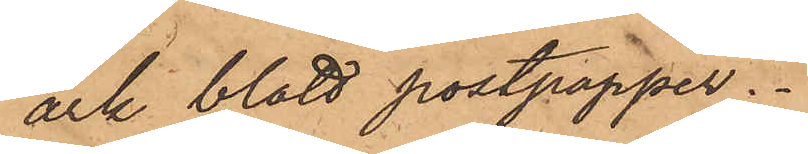ark blått postpapper.
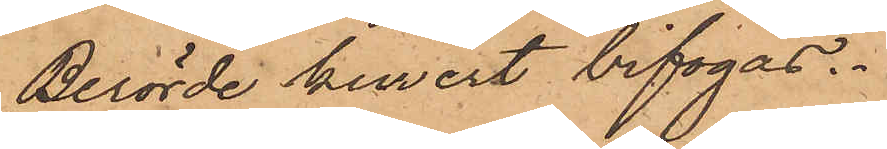Berörde kuvert bifogas.
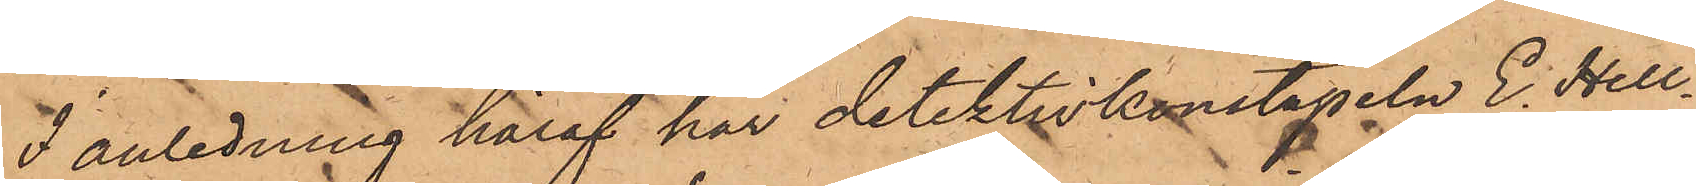I anledning häraf har detektivkonstapeln E. Hell¬
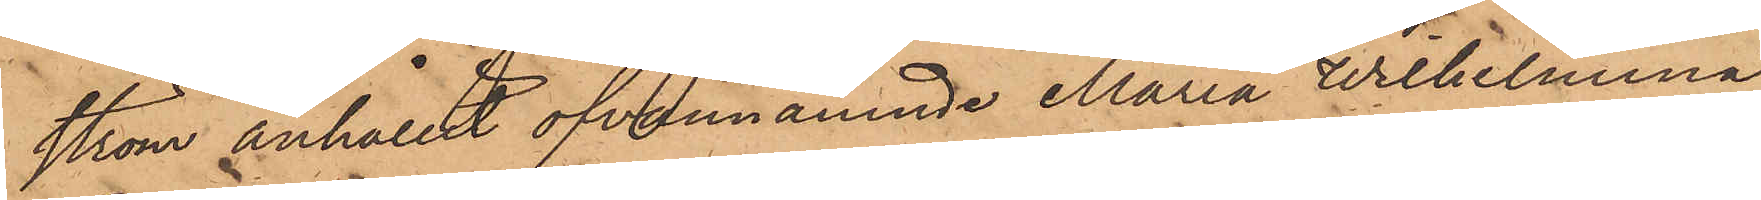ström anhållit ofvannämnde Maria Wilhelmina
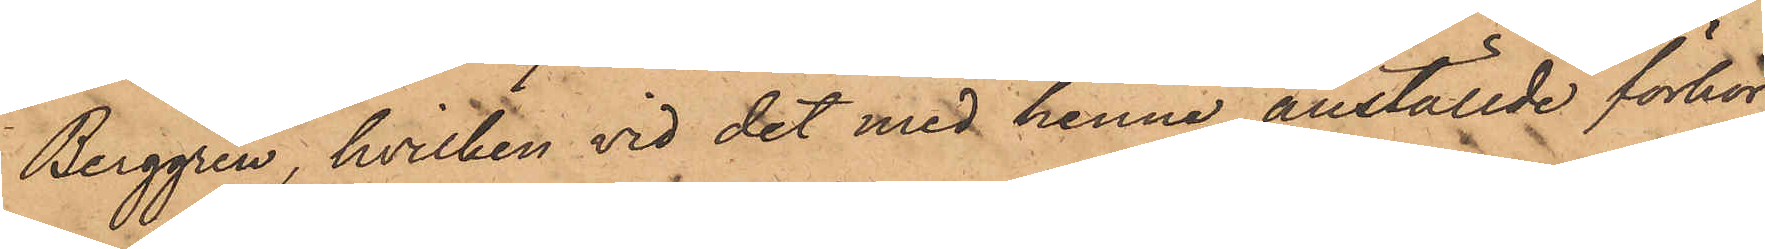Berggren, hvilken vid det med henne anställde förhör
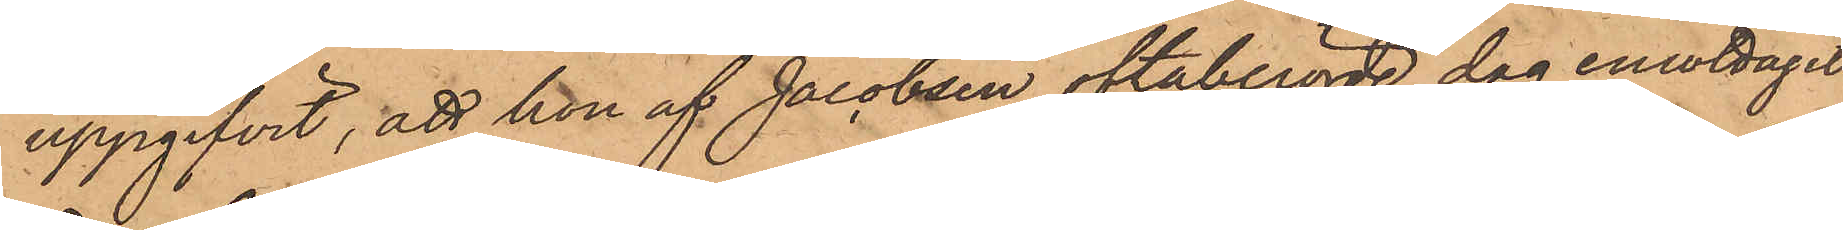uppgifvit, att hon af Jacobsen oftaberörde dag emottagit
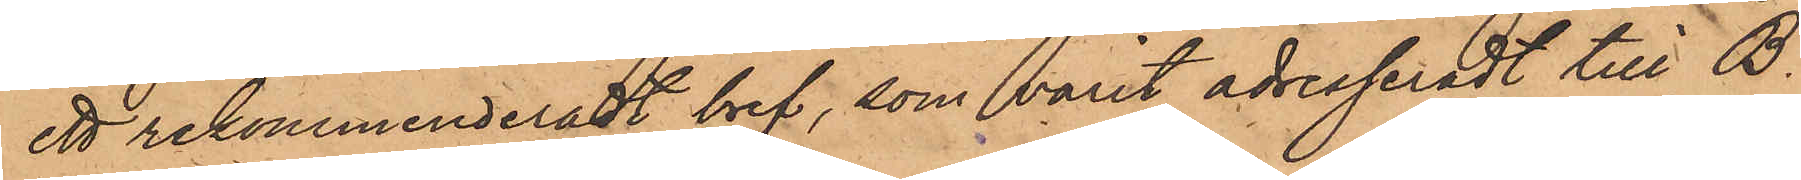ett rekommenderadt bref, som varit adresseradt till B.
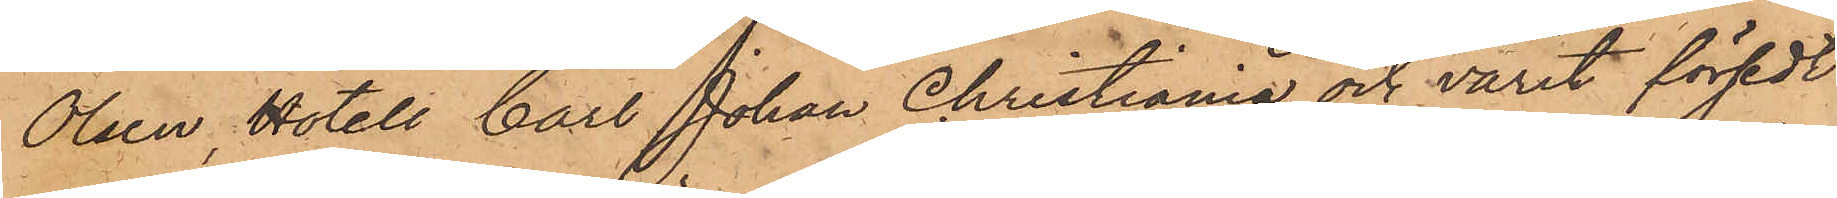Olsen, Hotell Carl Johan Christiania och varit försedt
